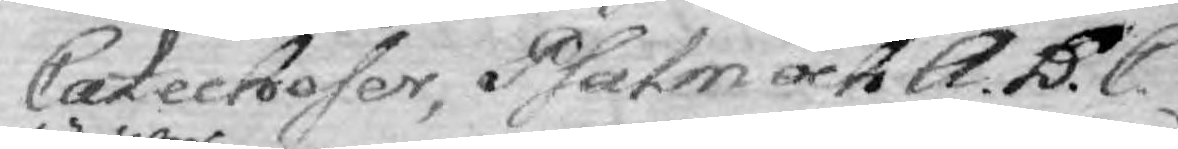Catecheser, Psalm och A.B.C
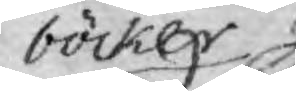böcker
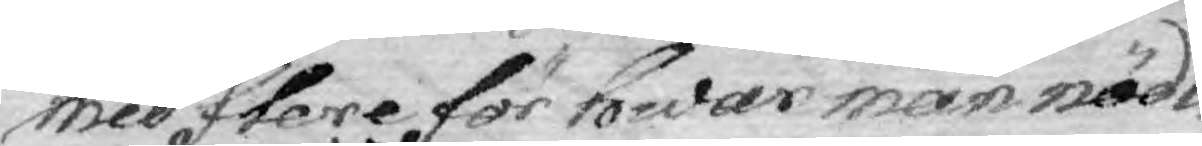med flere för hwar man nödi¬
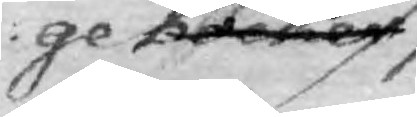ge böcker
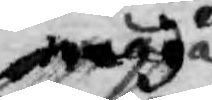präga
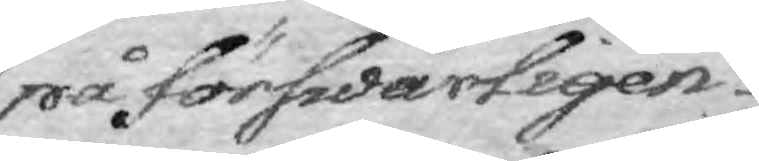på förswarligen
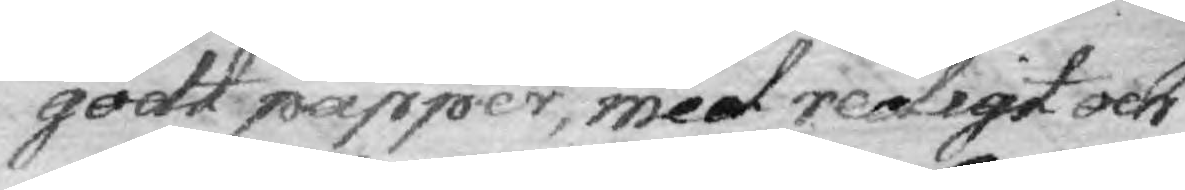godt papper, med redigt och
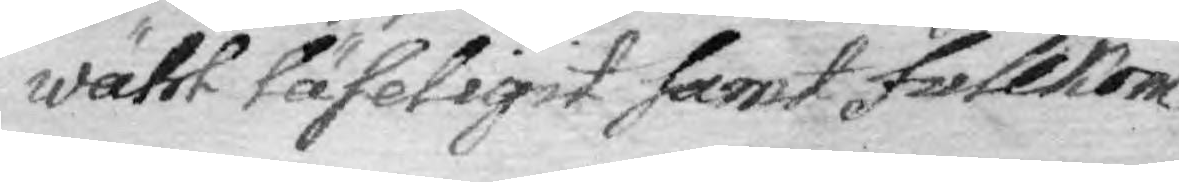wähl läseligt samt fullkom¬
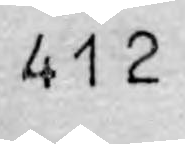412
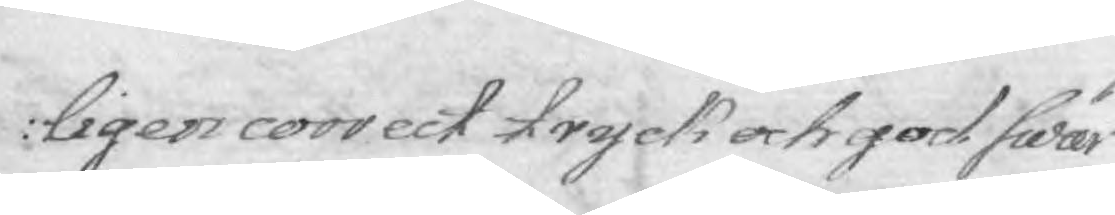ligen correct tryck och god swär¬
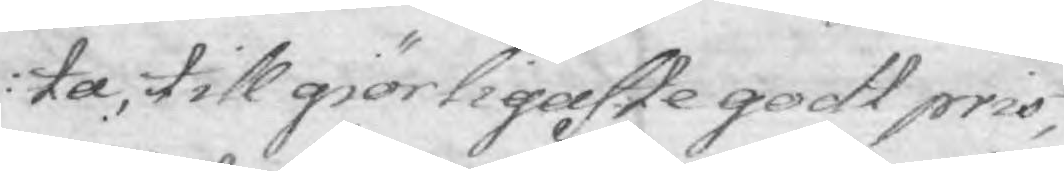ta, till giörligaste godt pris,
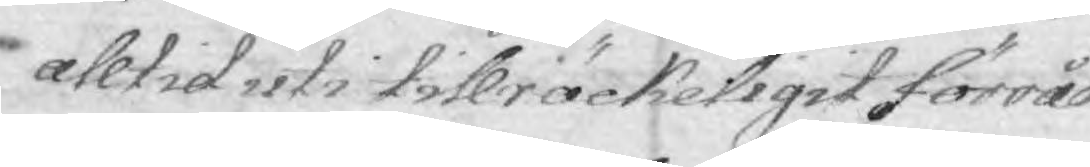alltrid uti tillräckleligit förråd
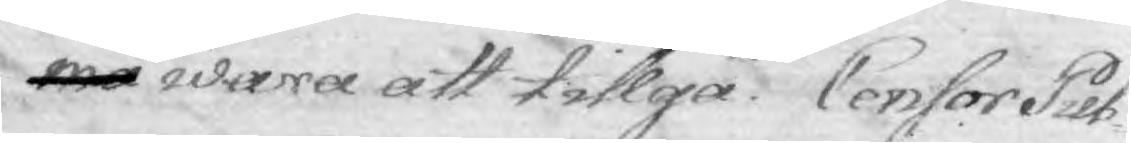må wara att tillgå. Censor Pub¬
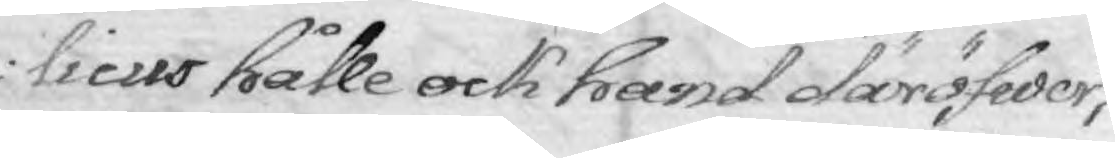licus hålle ock hand däröfwer,
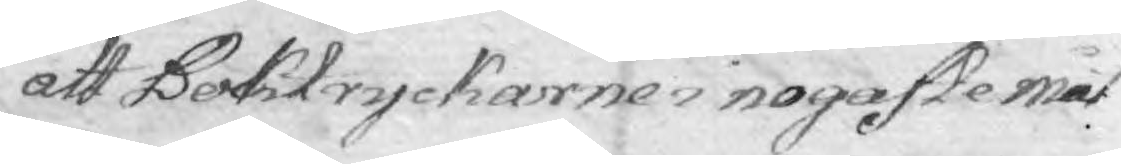att Boktryckarne i nogaste måt¬
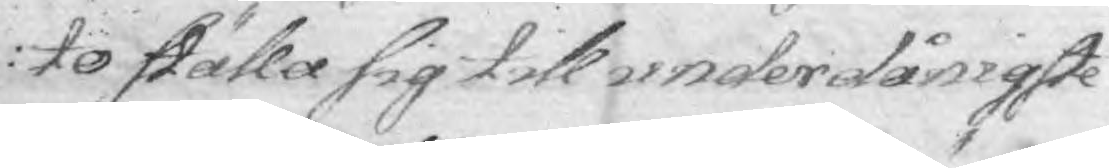to ställa sig till underdånigste
